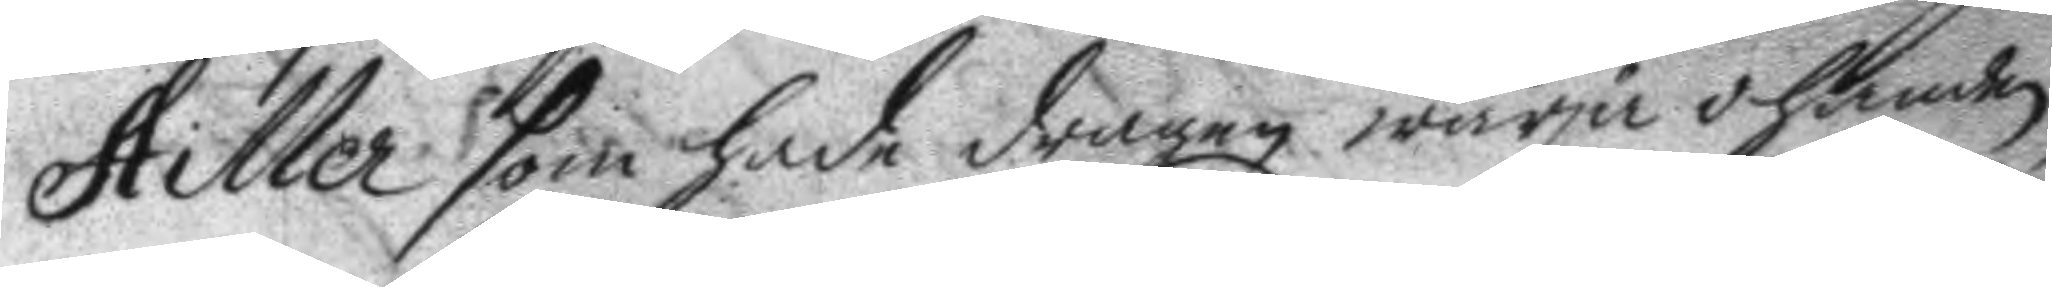Hiller som hade dragen wärja i handen
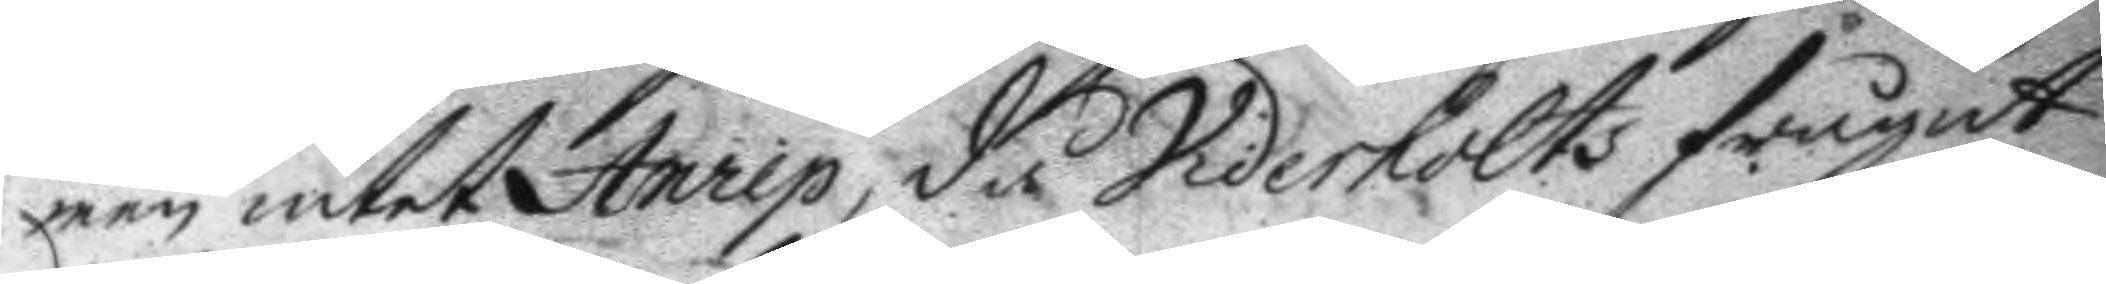men intet Anrep, då Viderholts frågat
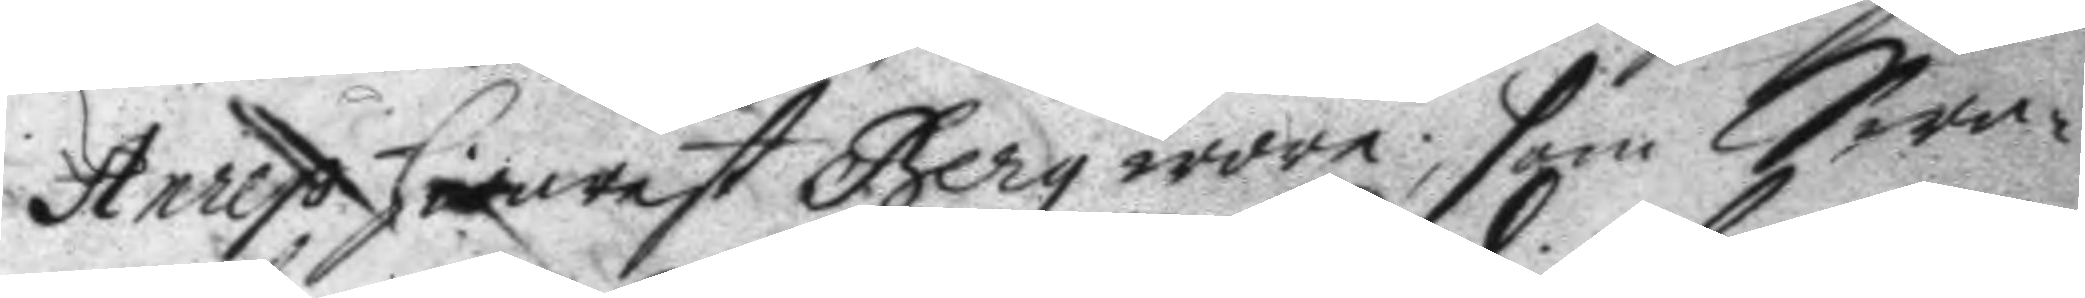Anrep hwarest Berg wore, som Swa¬
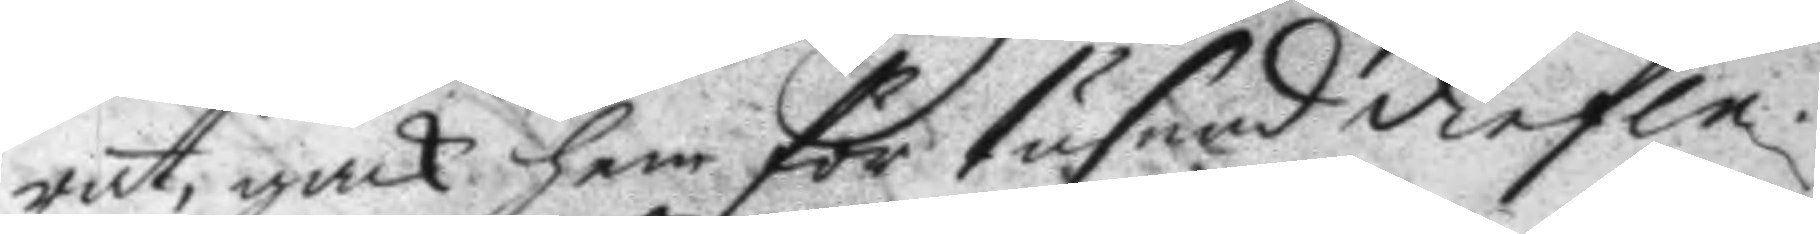rat, gack hem för tusend diefle.
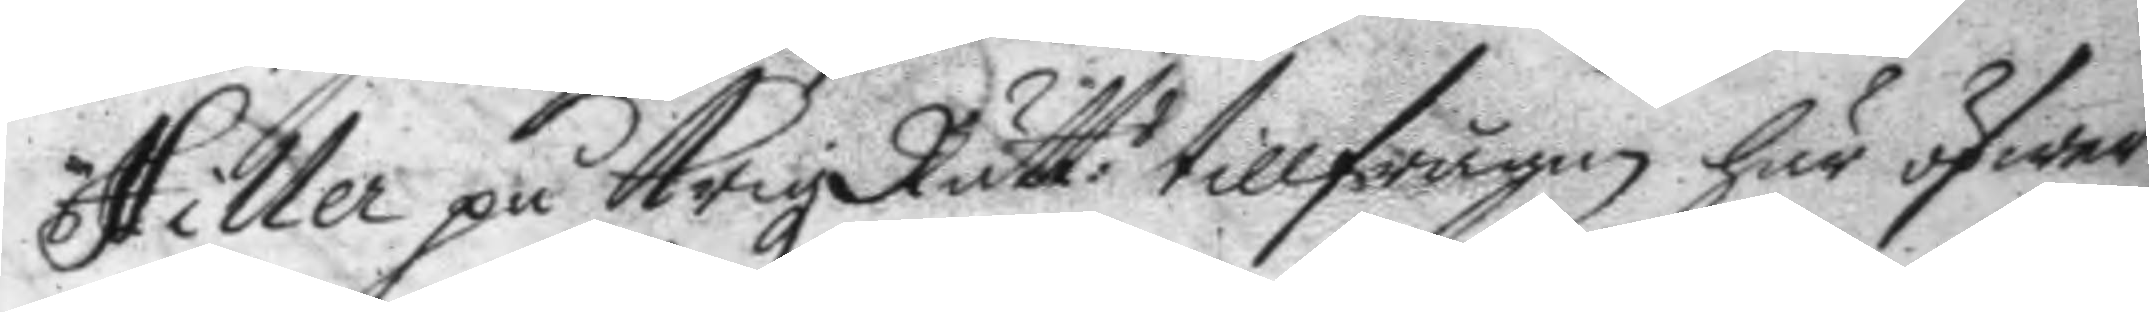Hiller på KrigzRätt:n tillfrågan här öfwer
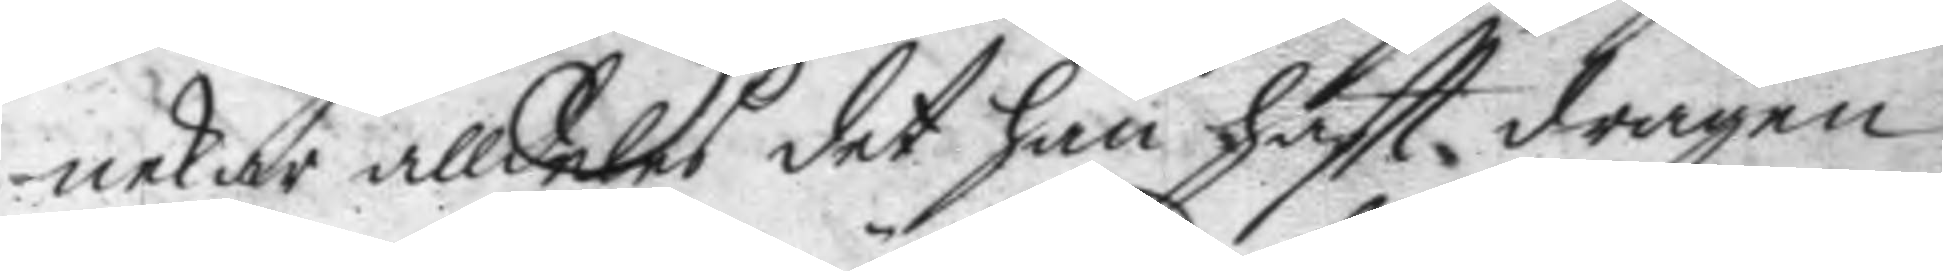nekar alldeles det han haftt dragen
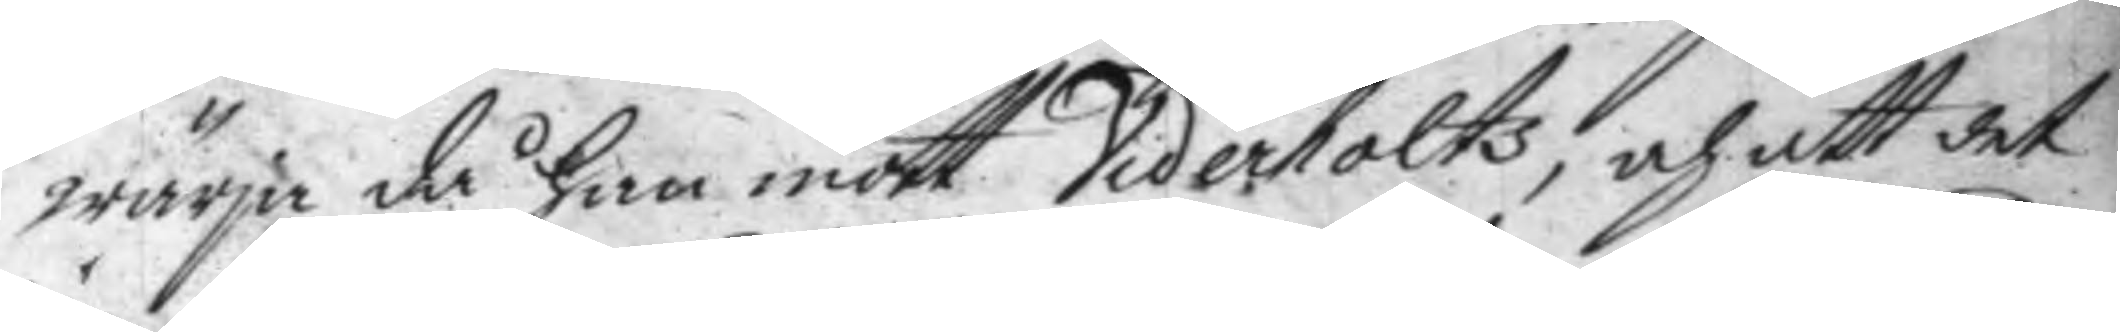wärja då han mött Viderholts, och att det
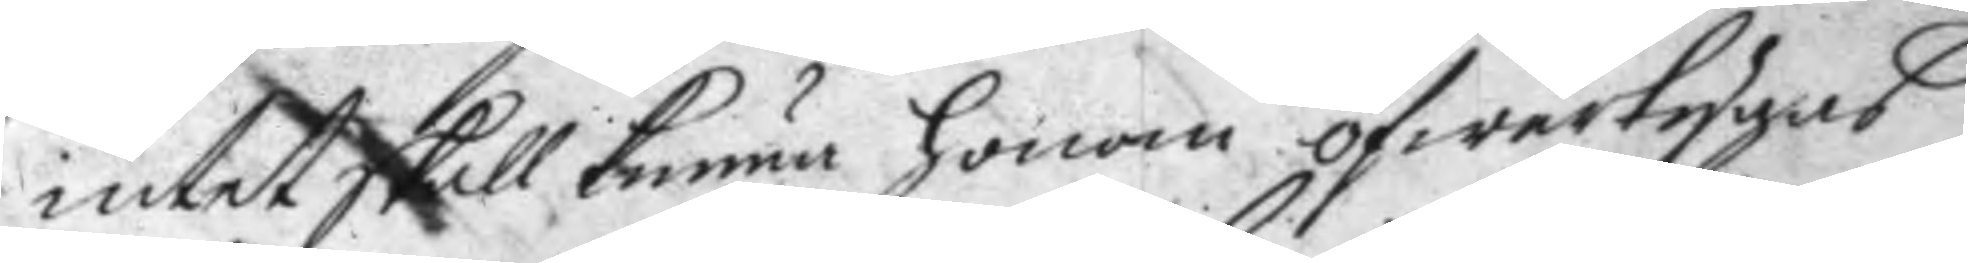intet skall kunna honom öfwertygas
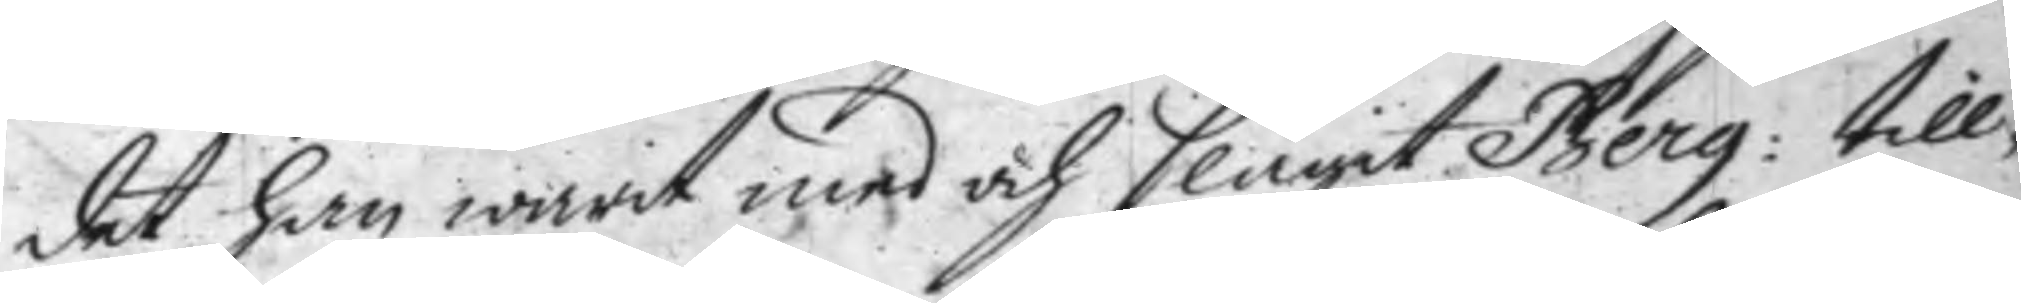det han warit med och slagit Berg: till¬
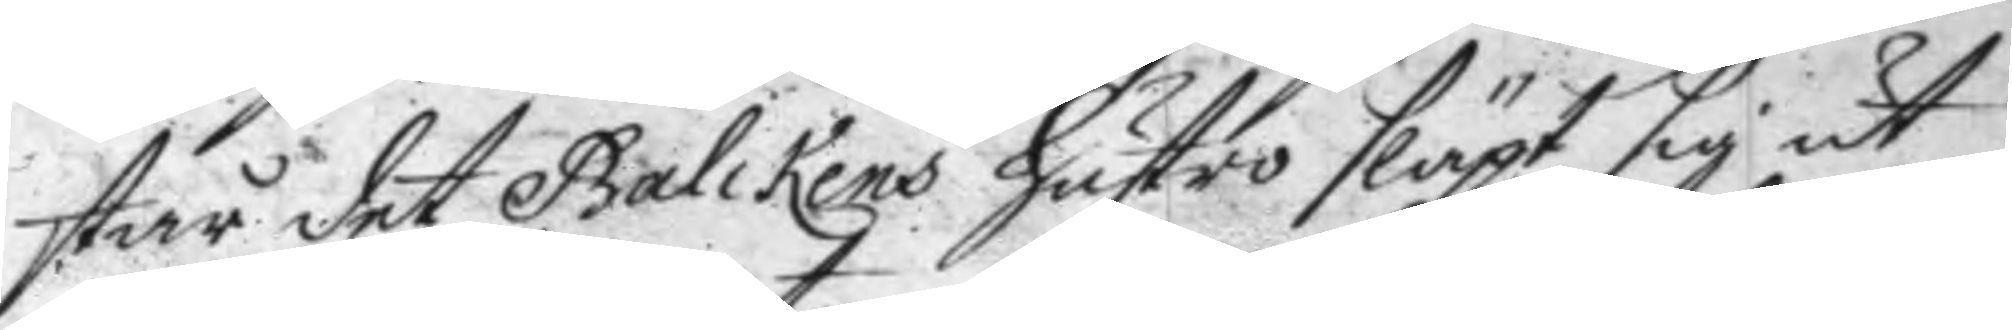står det Balckens hustro släpt sig ut
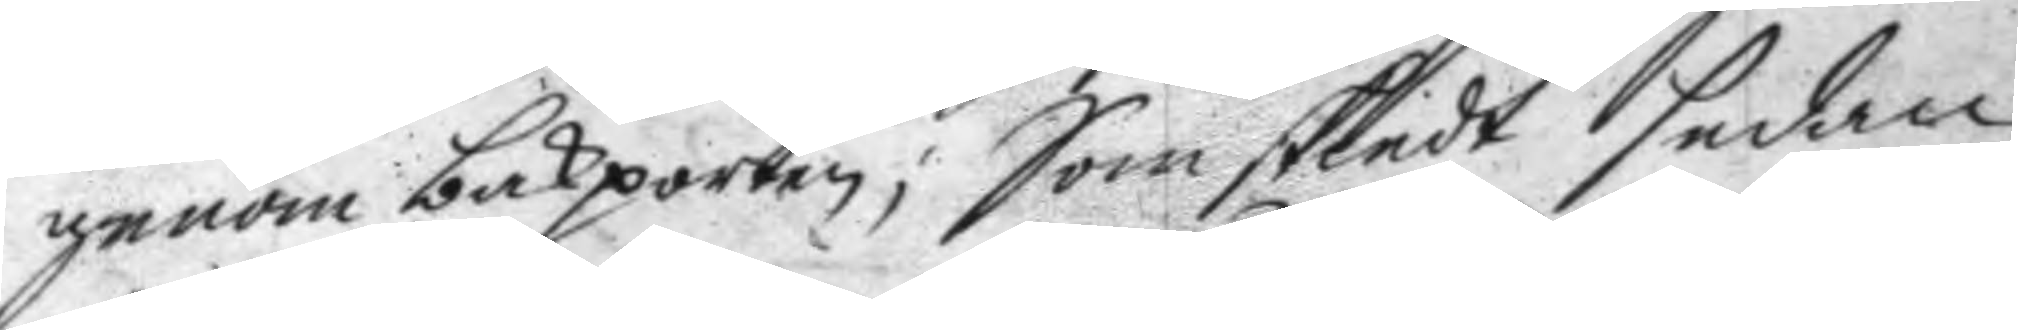genom bakporten; Som skiedt sedan
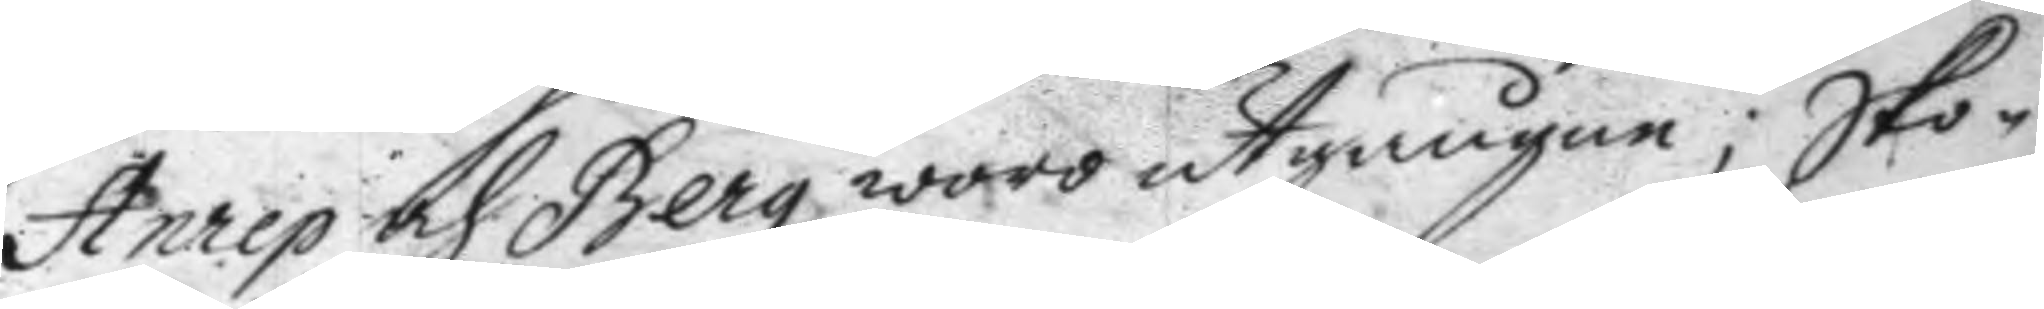Anrep och Berg woro utgångne; sko¬
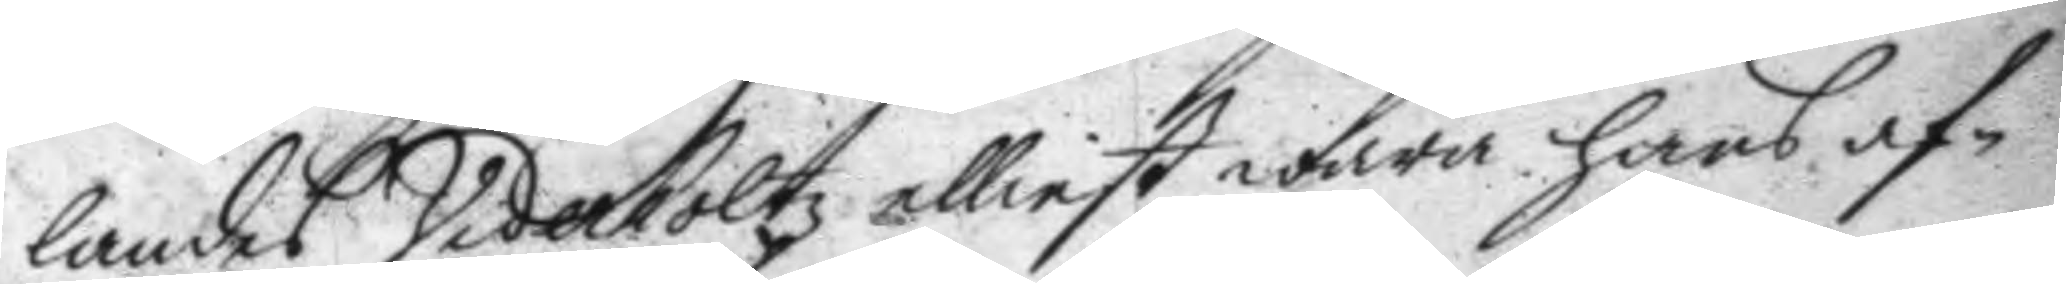landes Viderholts elliest wara hans af¬
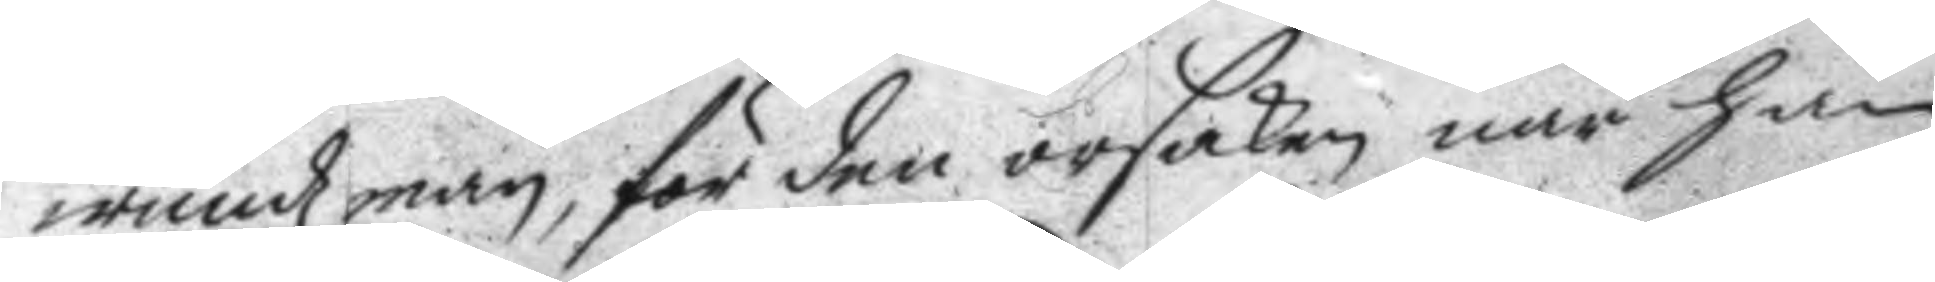wundzman, för den orsaken när han
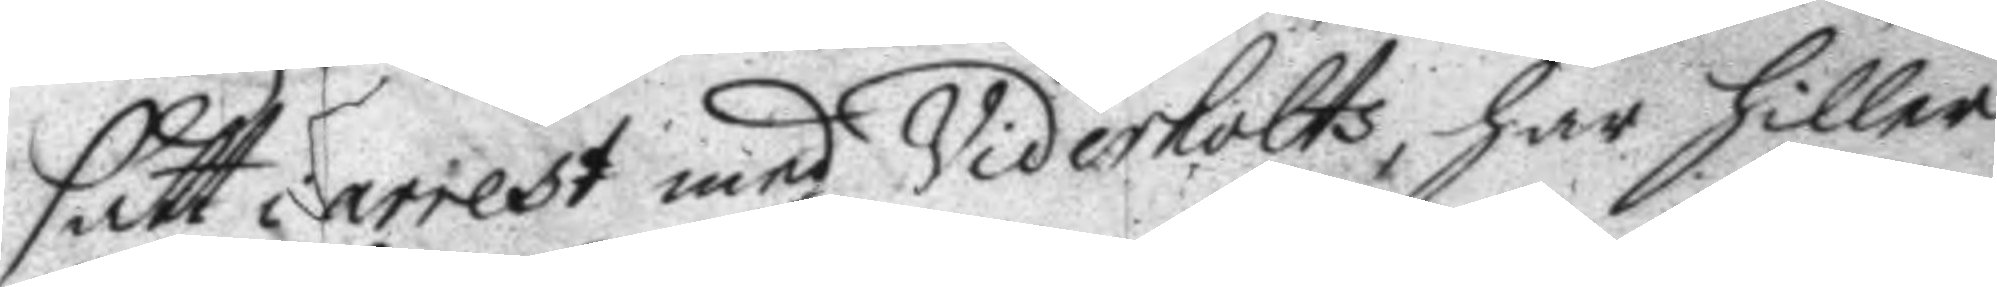satt i arrest med Viderholta, har hiller
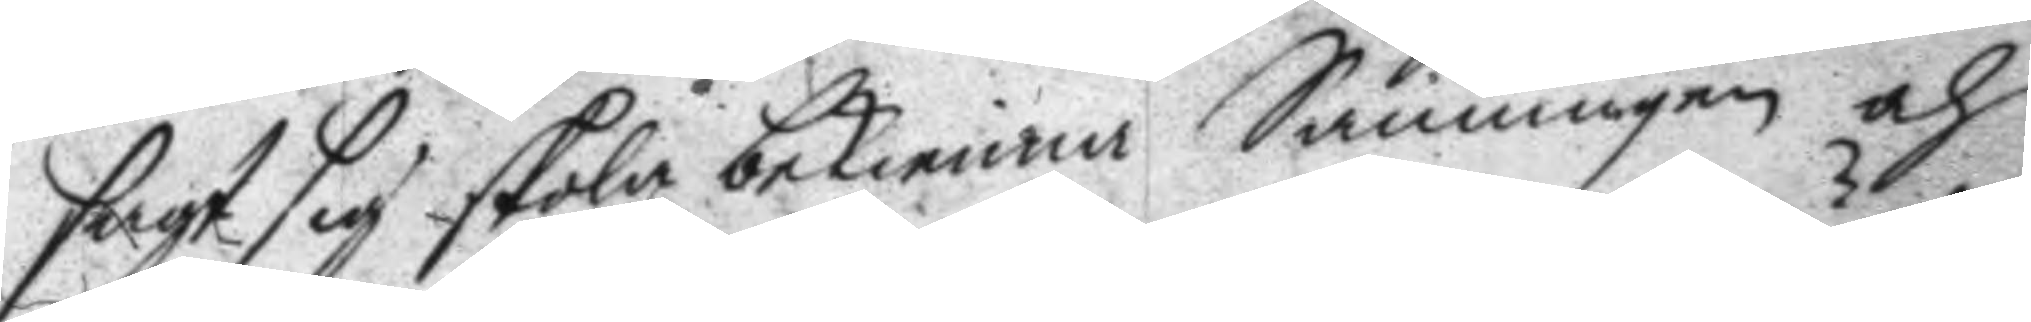sagt sig skola bekienna Sanningen och
